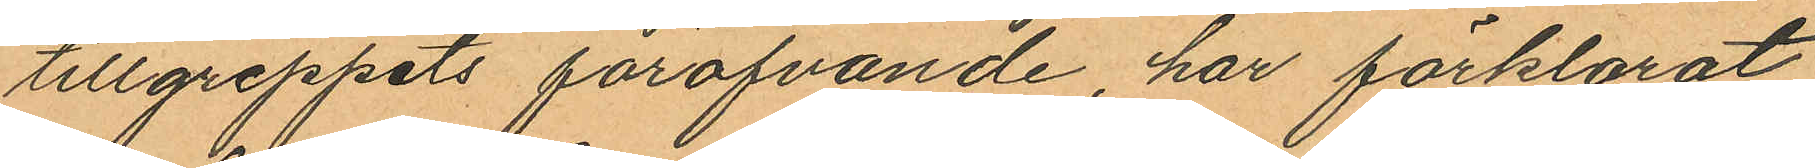tillgreppets föröfvande, har förklarat
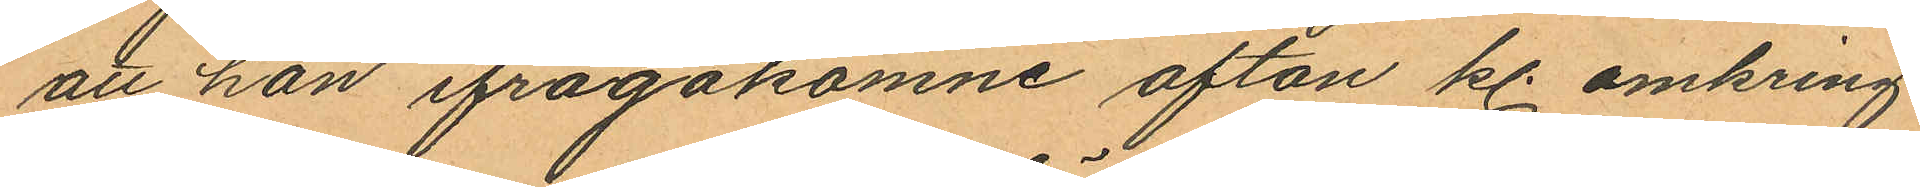att han ifrågakomne afton kl. omkring
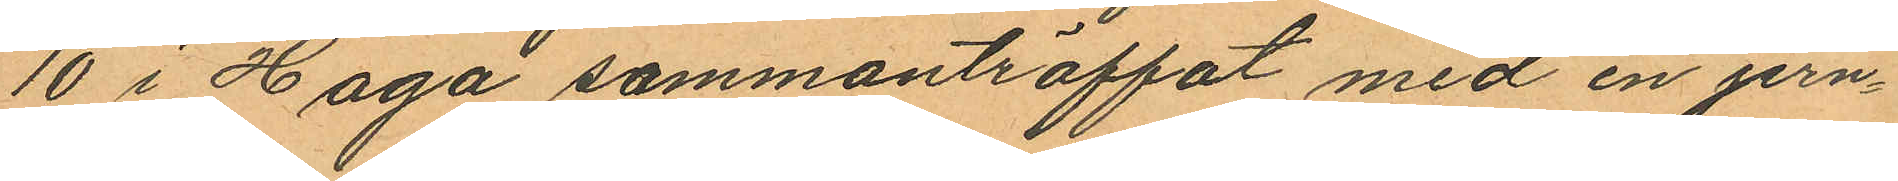10 i Haga sammanträffat med en jern¬
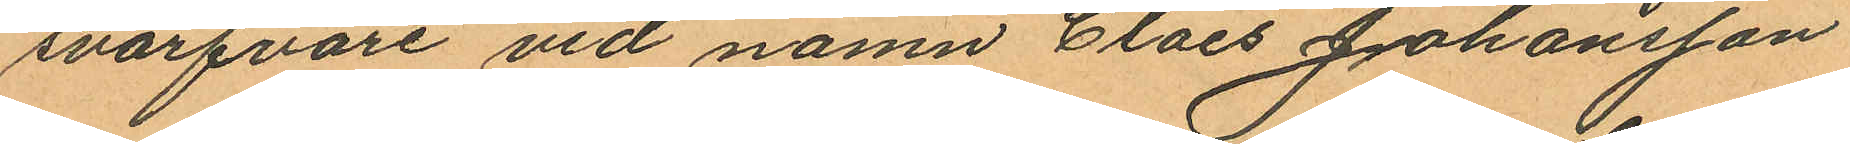svarfvare vid namn Claes Johansson
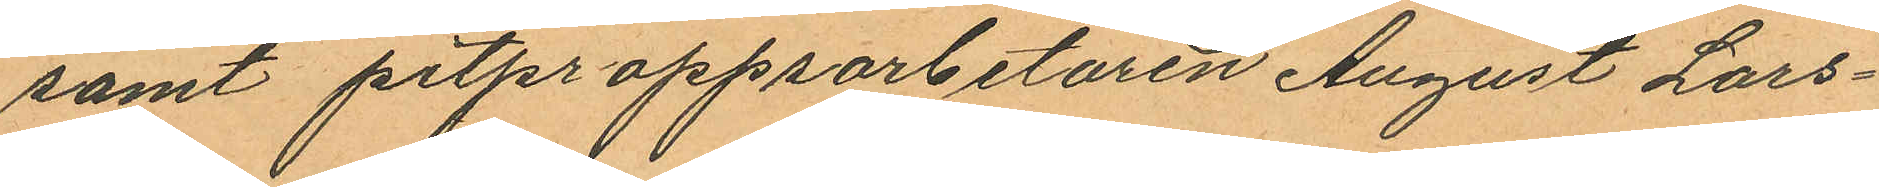samt pitproppsarbetaren August Lars¬
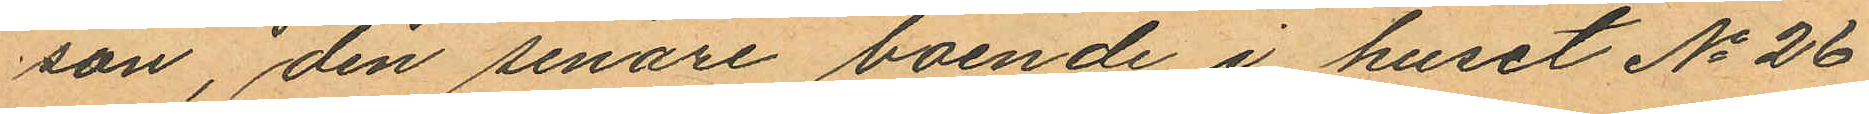son, den senare boende i huset No 26
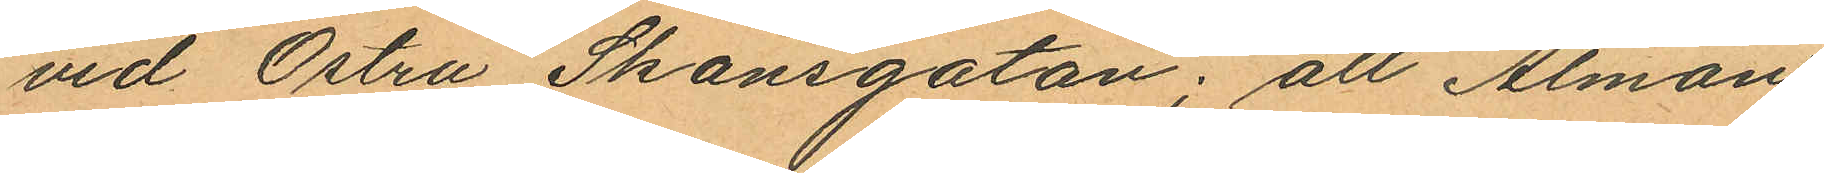vid Östra Skansgatan; all Alman
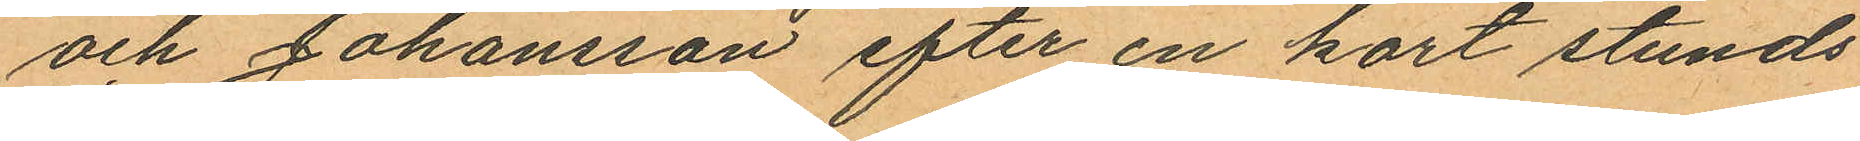och Johansson efter en kort stunds
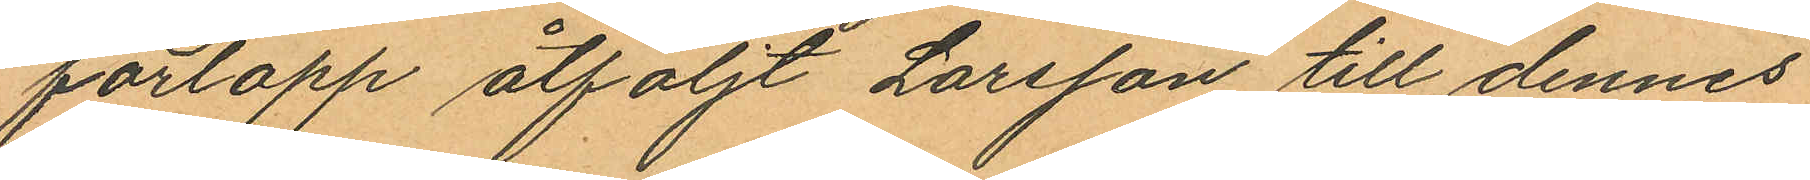förlopp åtföljt Larsson till dennes
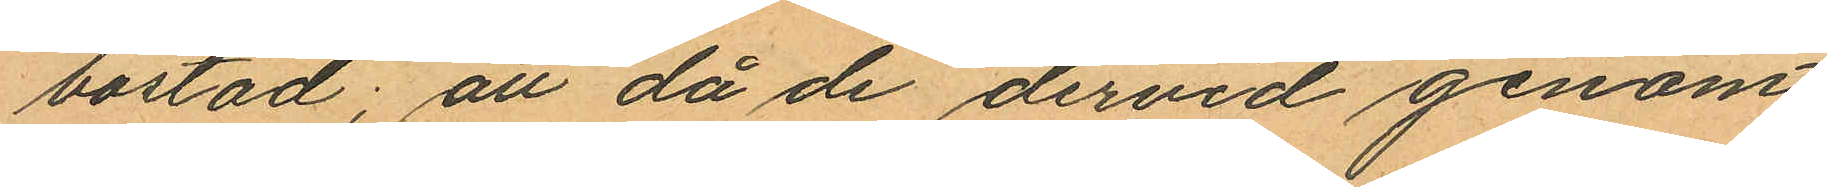bostad; att då de dervid genom
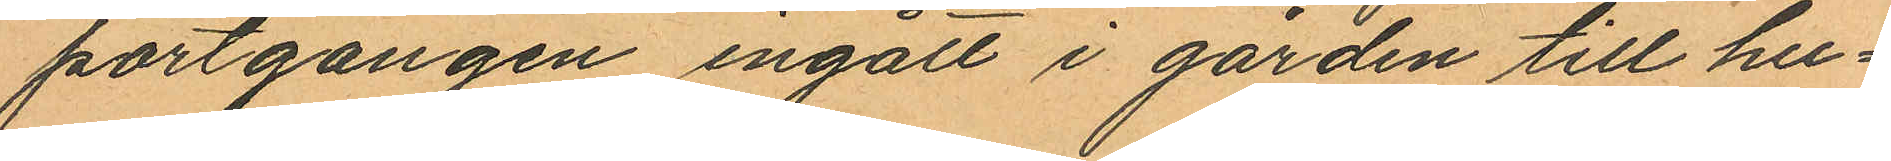portgången ingått i gården till hu¬
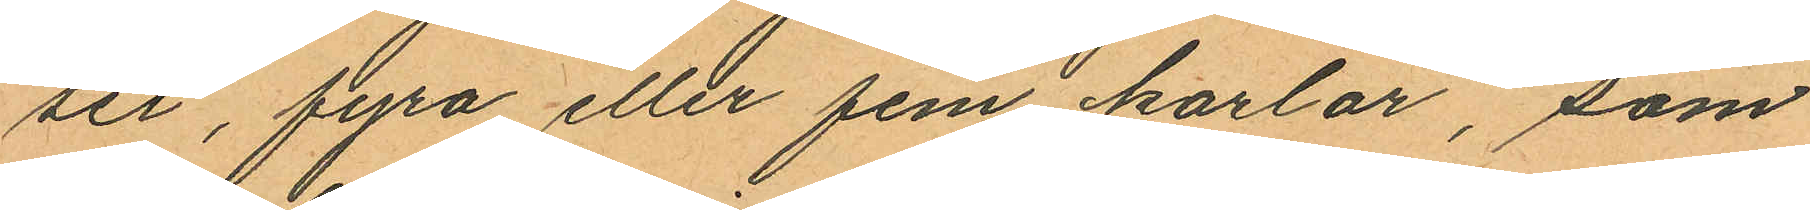set, fyra eller fem karlar, som
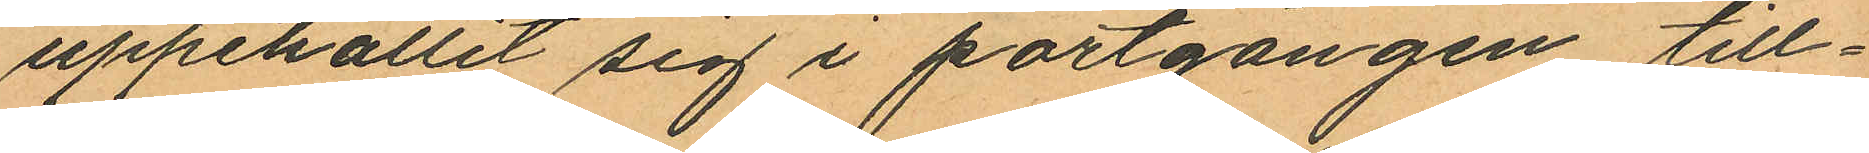uppehållit sig i portgången, till¬
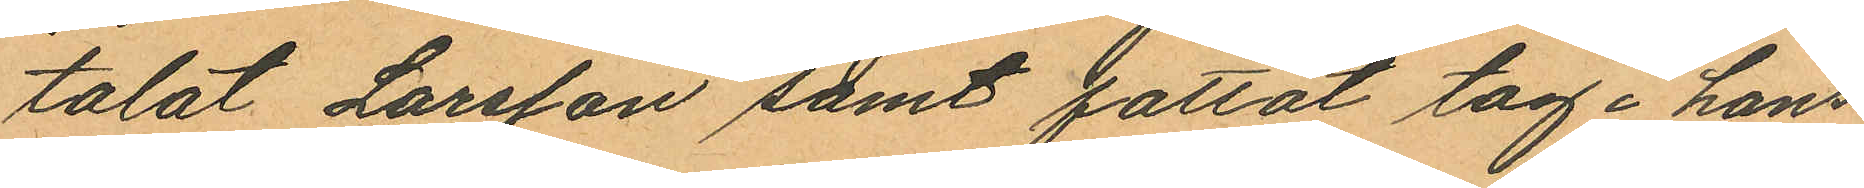talat Larsson samt fattat tag i hans
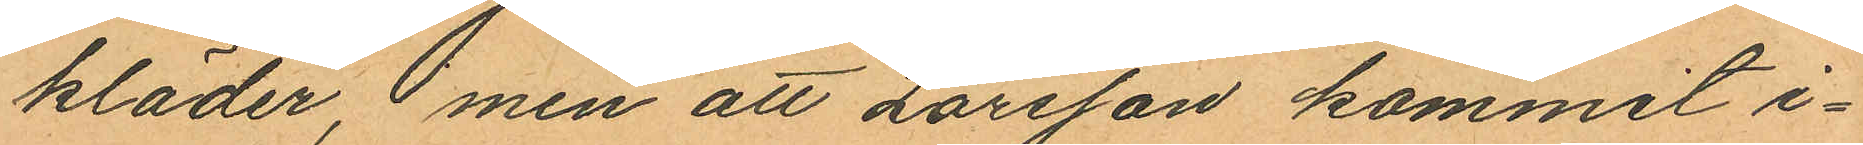kläder, men att Larsson kommit i¬
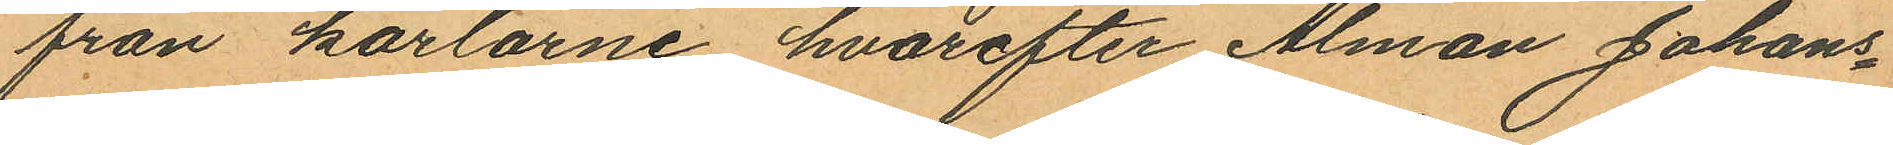från karlarne, hvarefter Alman Johans¬
